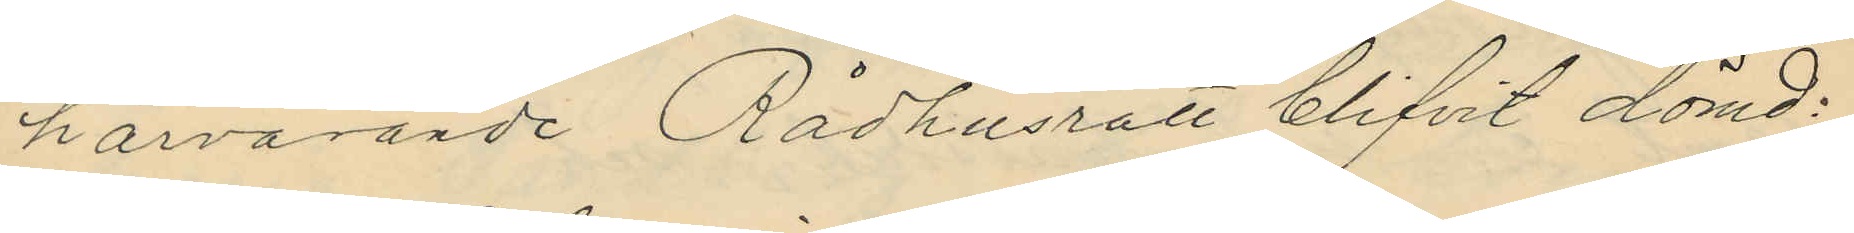härvarande Rådhusrätt blifvit dömd:
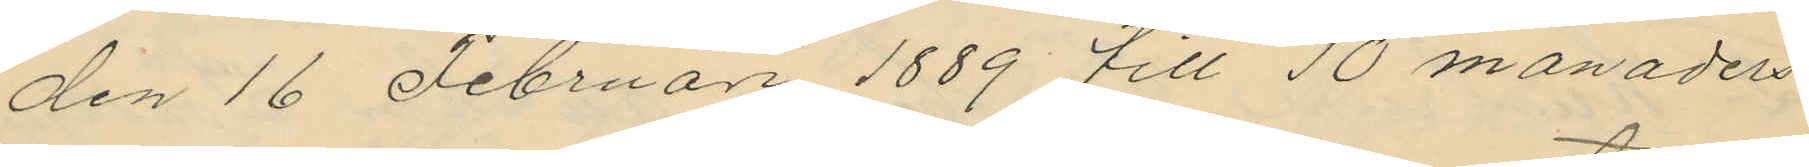den 16 Februari 1889 till 10 månaders
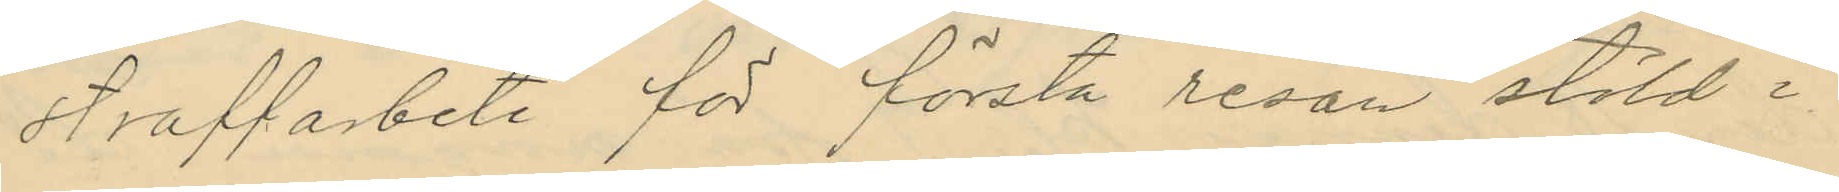straffarbete för första resan stöld i
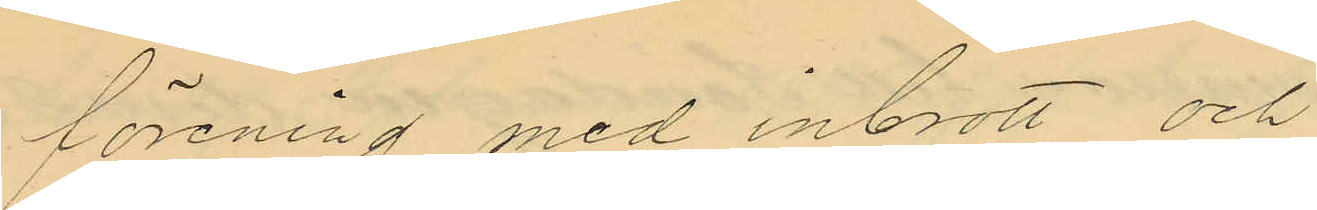förening med inbrott och
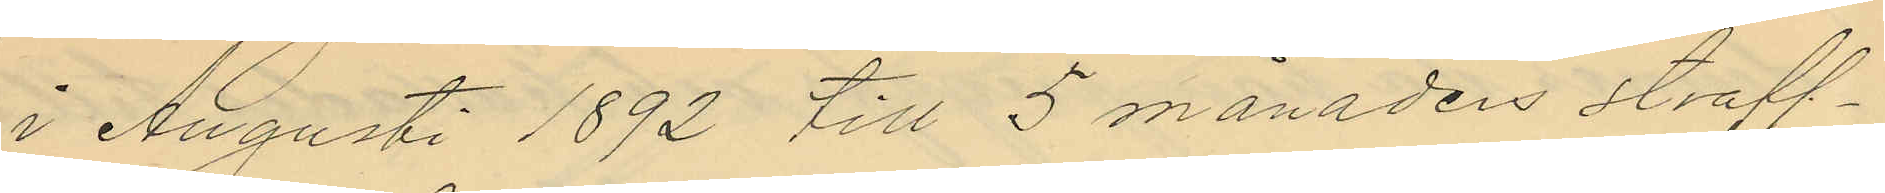i Augusti 1892 till 5 månaders straff¬
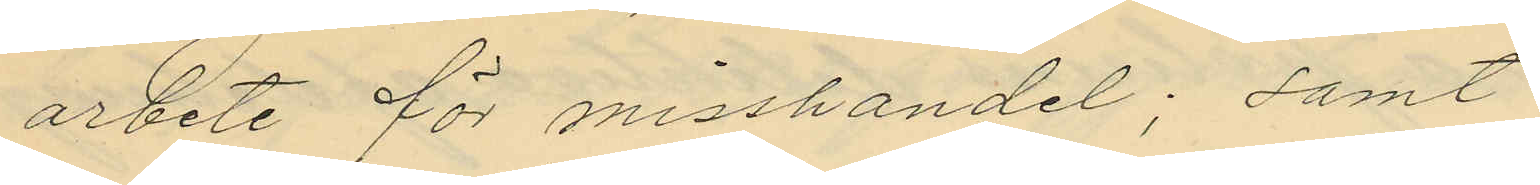arbete för misshandel; samt
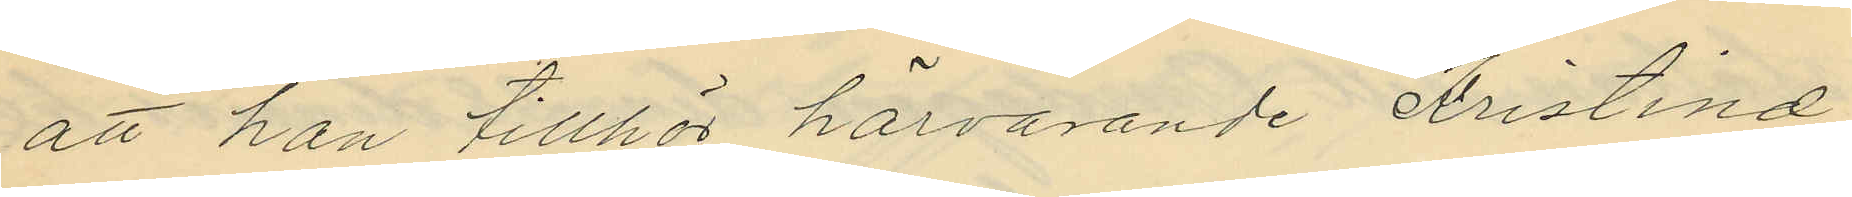att han tillhör härvarande Kristine
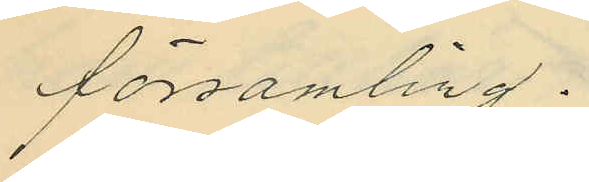församling.
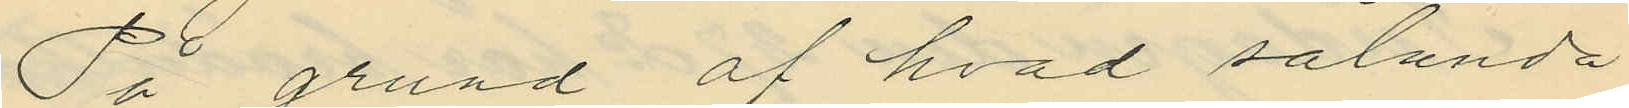På grund af hvad sålunda
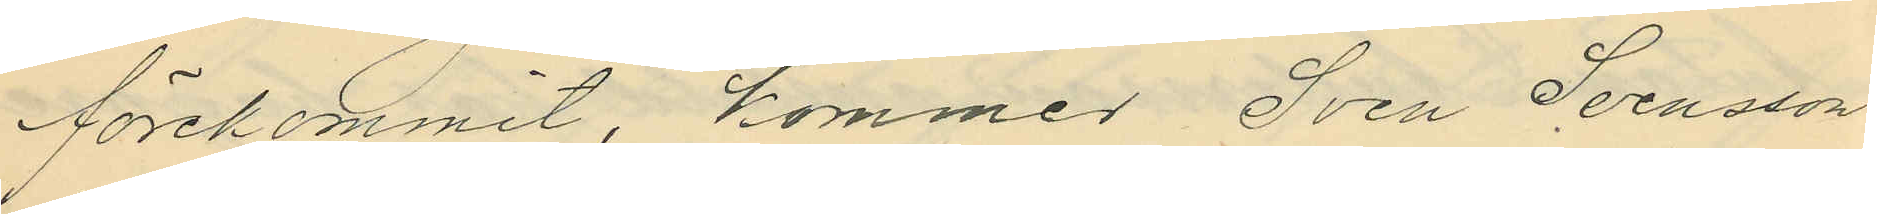förekommit, kommer Sven Svensson
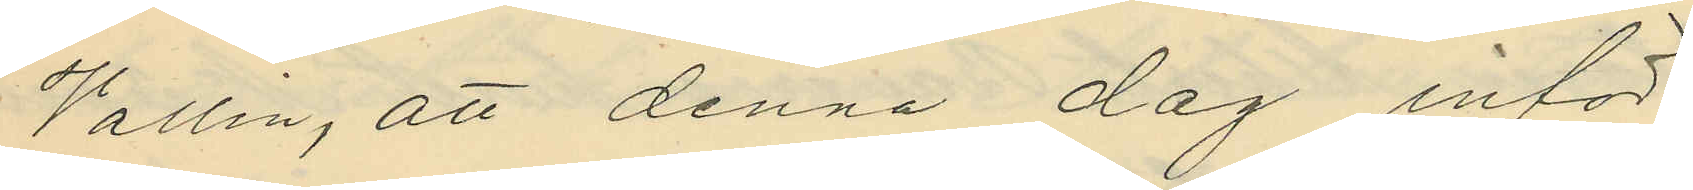Vallin, att denna dag inför
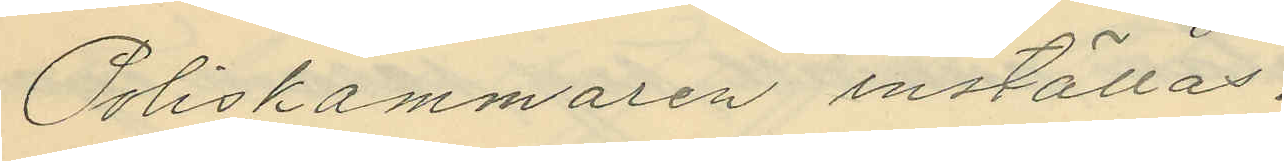Poliskammaren inställas.
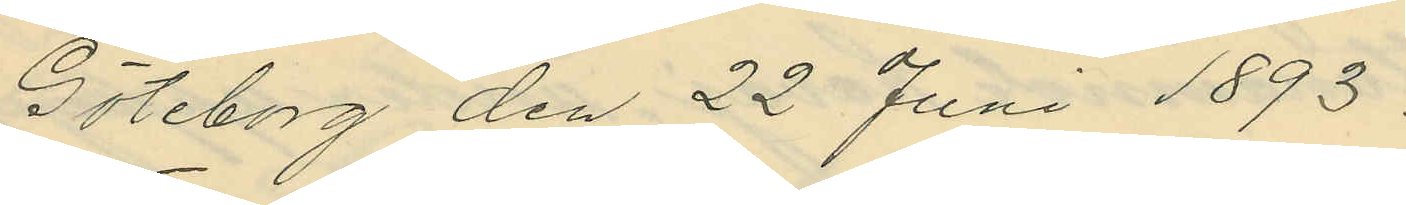Göteborg den 22 Juni 1893.
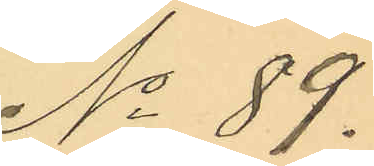No 89.
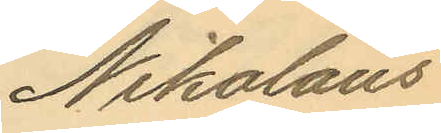Nikolaus
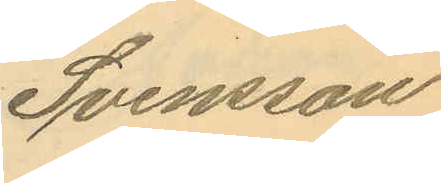Svensson
